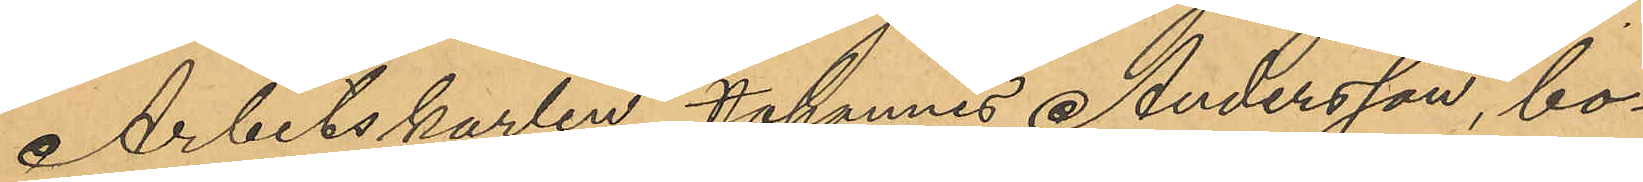Arbetskarlen Johannes Andersson, bo¬
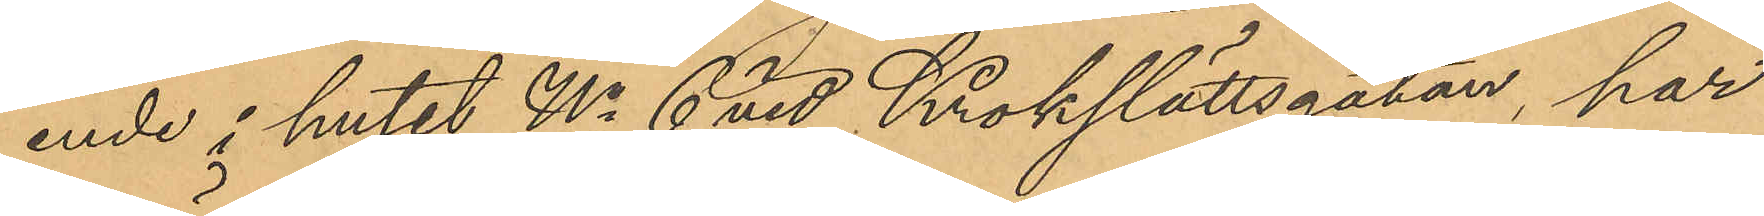ende i huset No 6 vid Krokslättsgatan, har
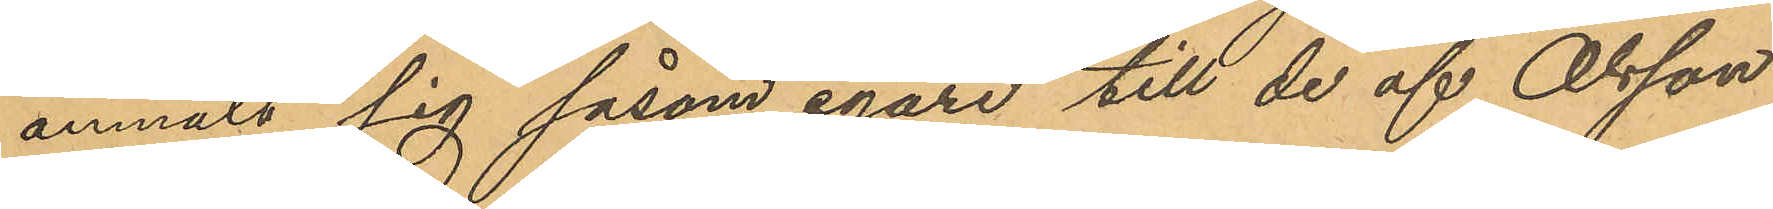anmält sig såsom egare till de af Olsson
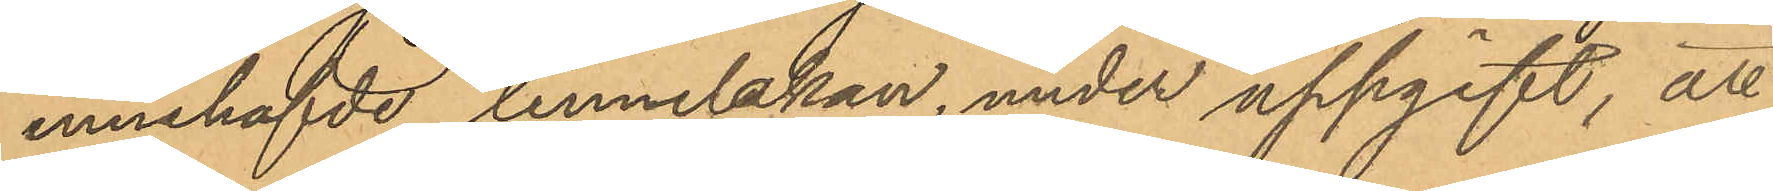innehafde linnelakan, under uppgift, att
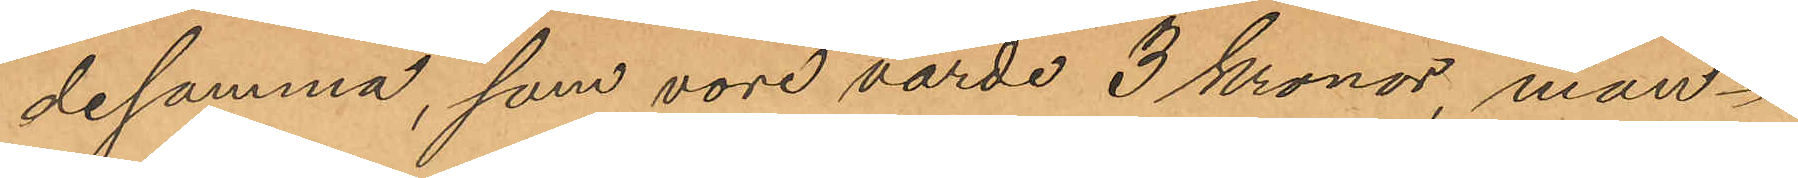desamma, som vore värde 3 kronor, mån¬
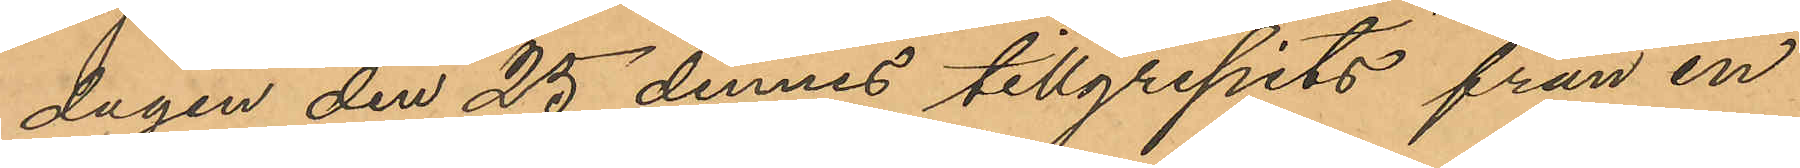dagen den 25 dennes tillgripits från en
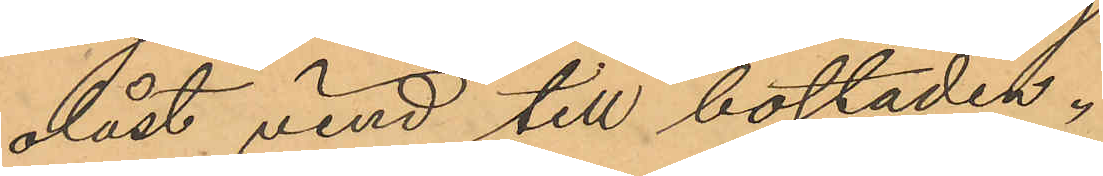olåst vind till bostaden.
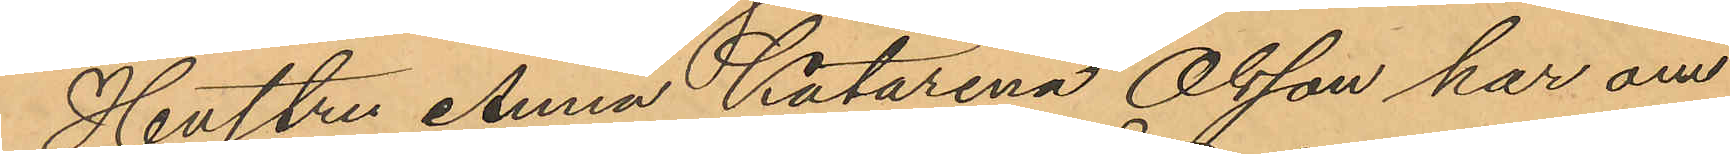Hustru Anna Katarina Olsson har om
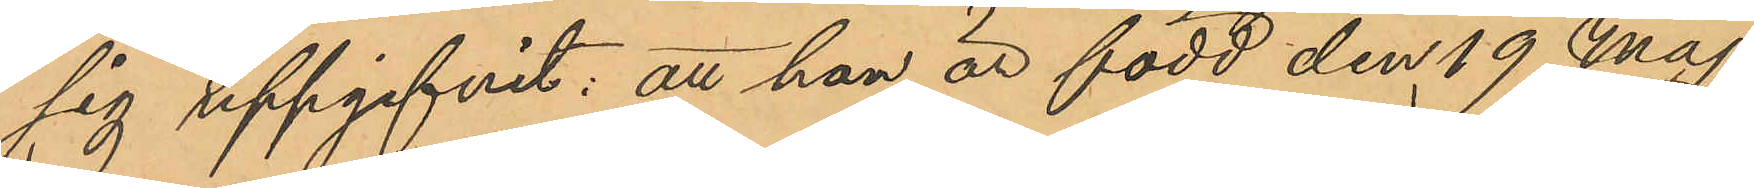sig uppgifvit: att han är född den 19 Maj
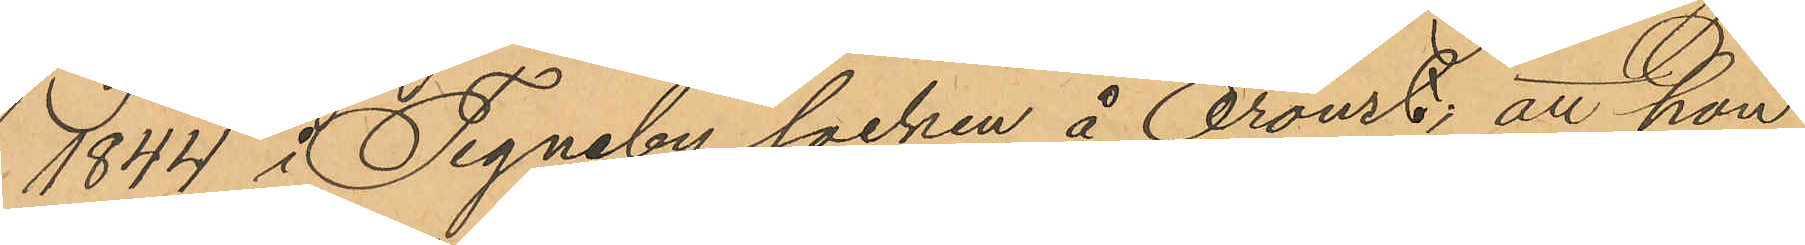1844 i Tegneby socken å Oroust, att hon
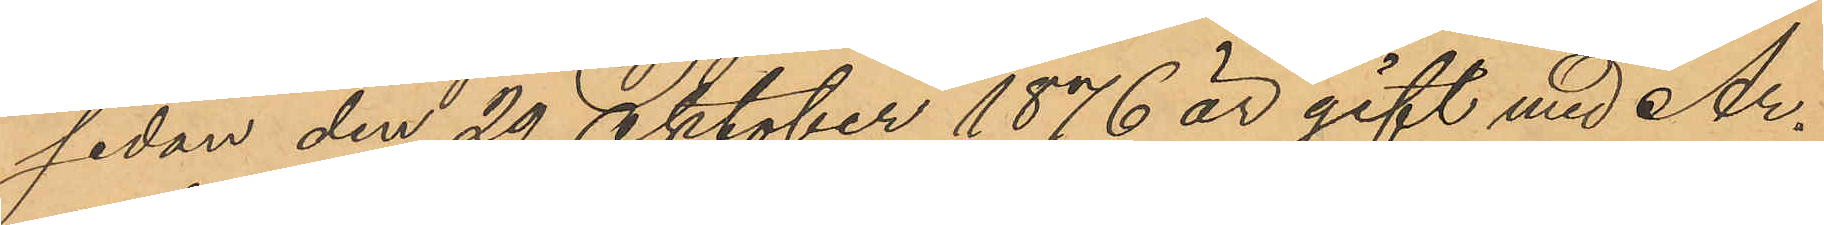sedan den 29 Oktober 1876 är gift med Ar¬
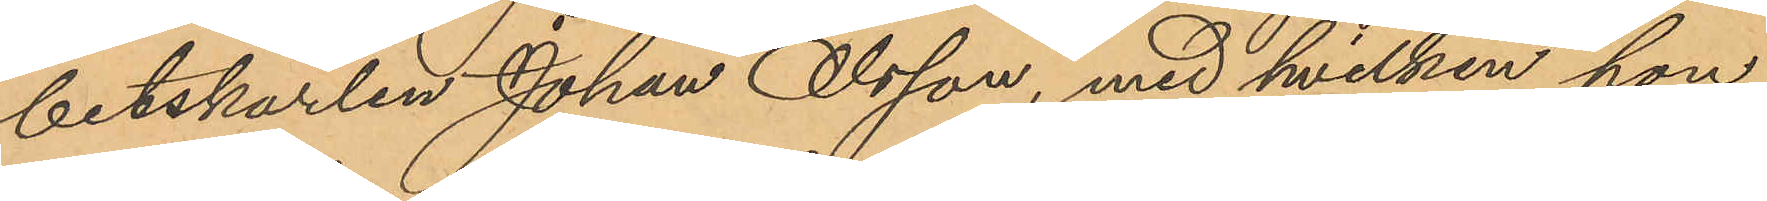betskarlen Johan Olsson, med hvilken hon
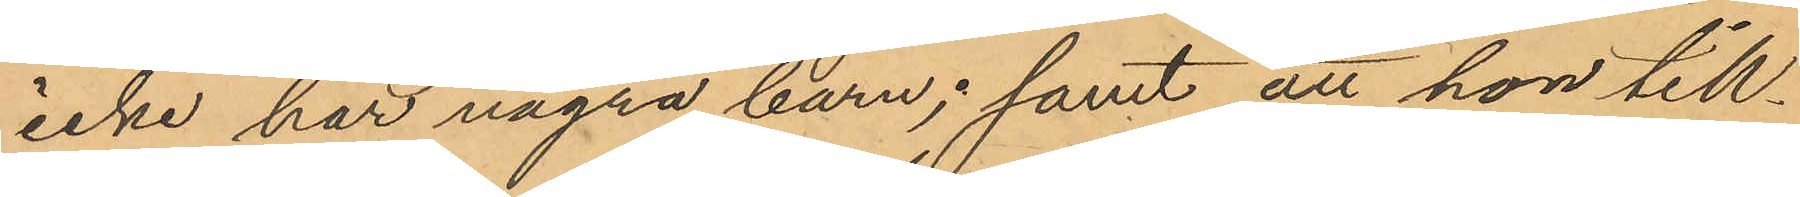icke har några barn; samt att hon till¬
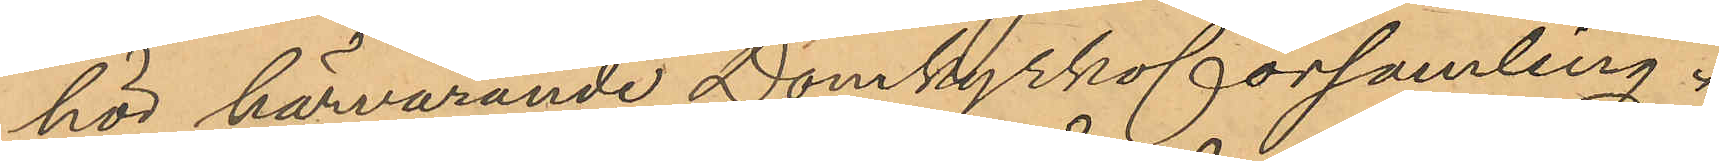hör härvarande Domkyrkoförsamling.
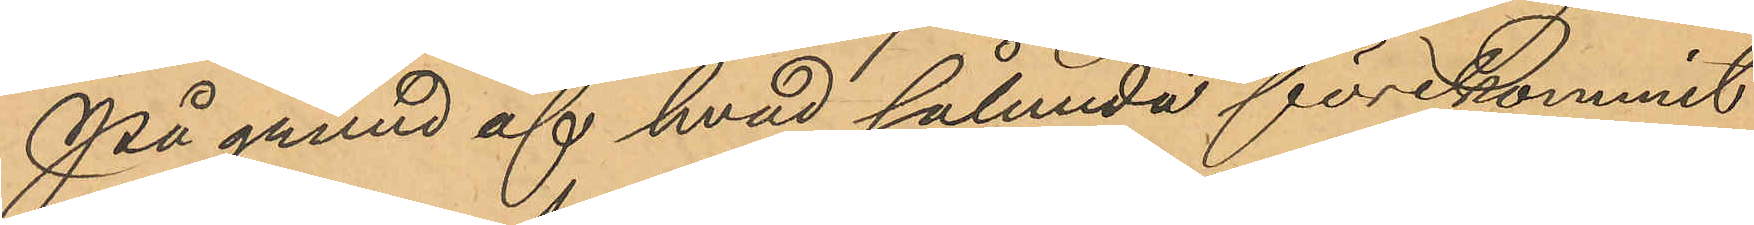På grund af hvad sålunda förekommit
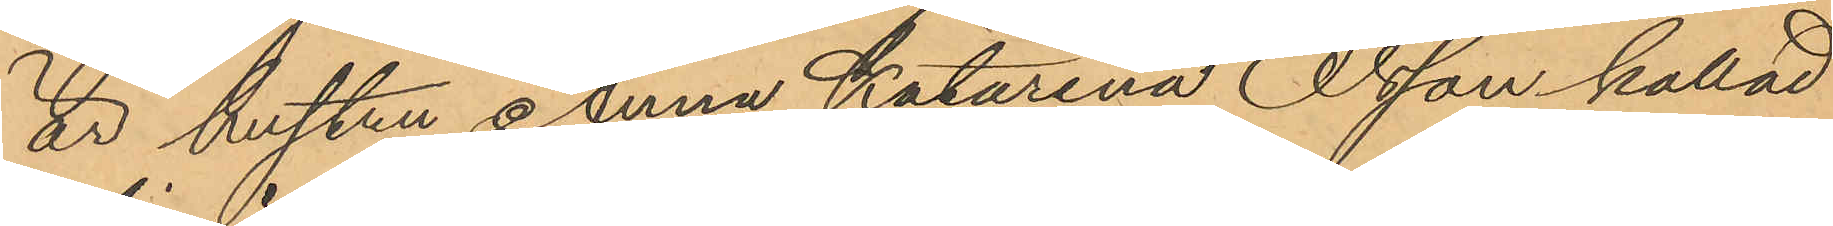är hustru Anna Katarina Olsson kallad
